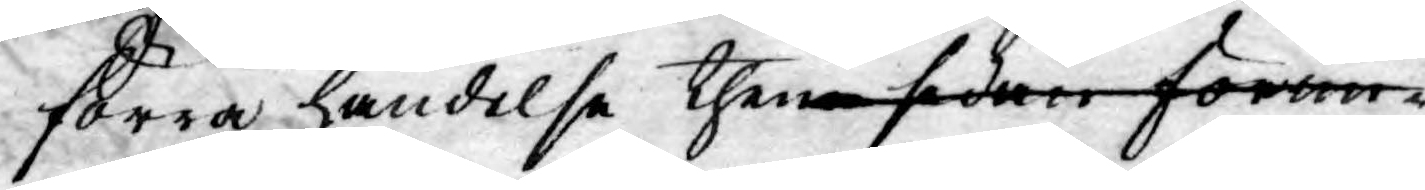förra händelse then sidan förän
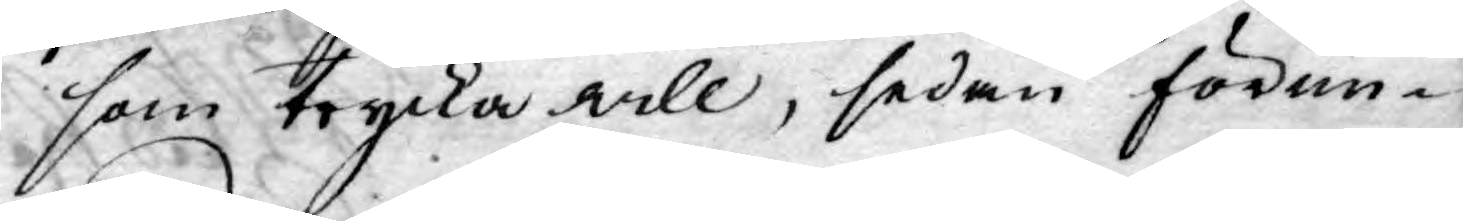som trycka will, sedan förun¬
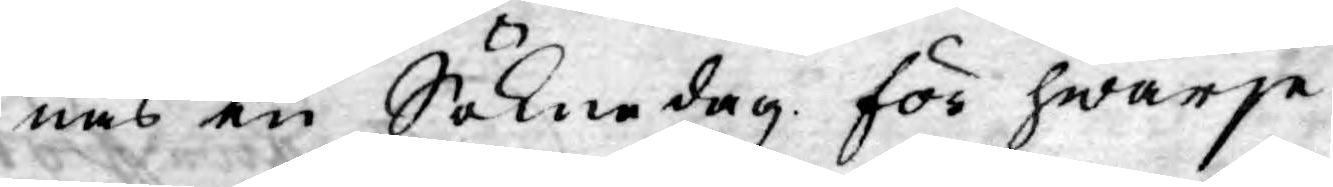nas en Söknedag för hwarje
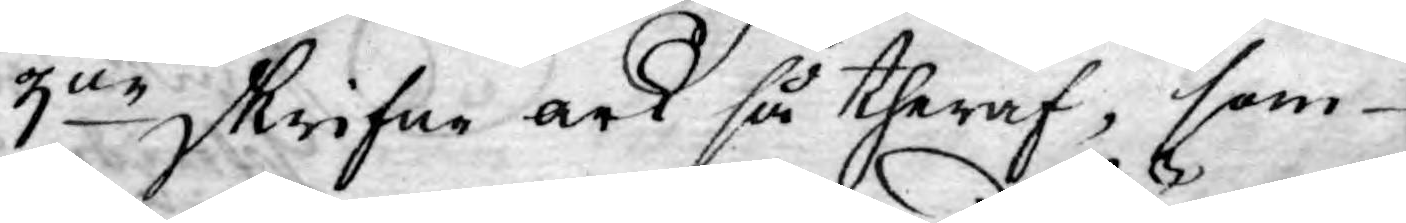3ne skrifne ark så theraf, som
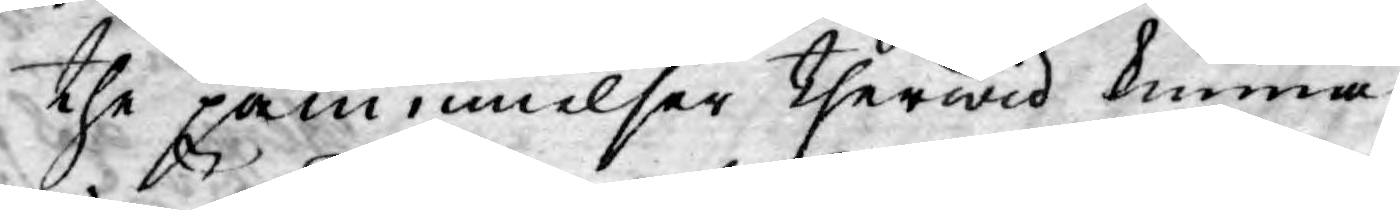the påminnelser therwid kunna
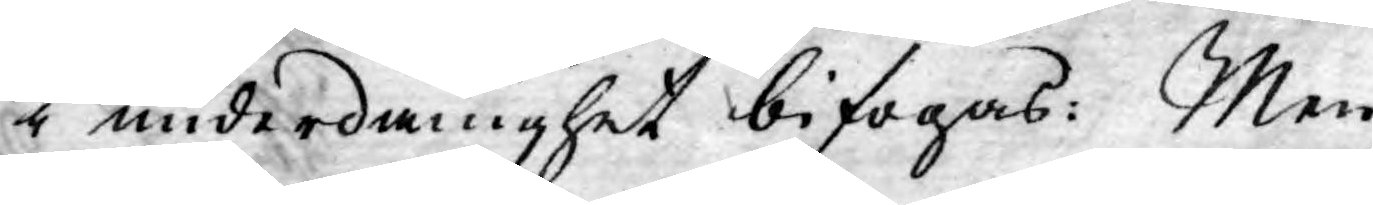i underdånighet bifogas: Men
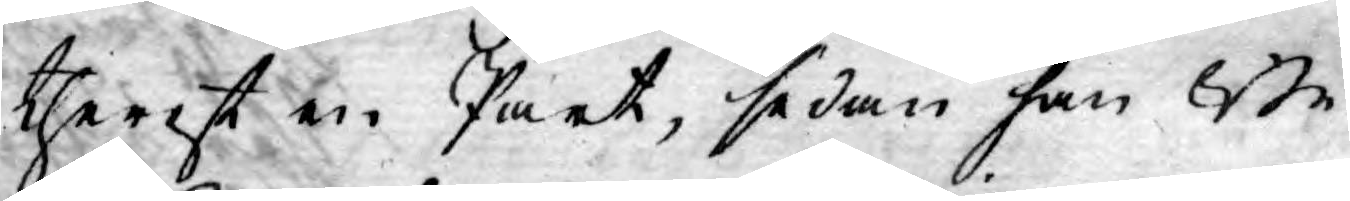therest en Part, sedan han Be¬
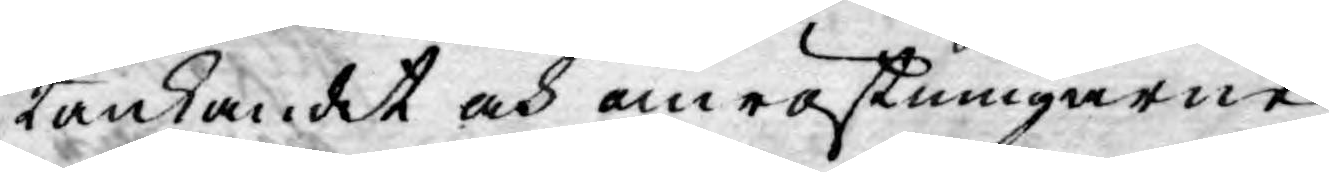tänkandet och omröstningarne
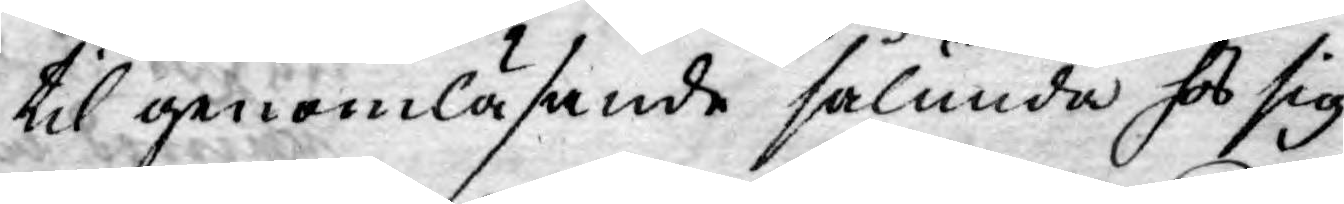til genomläsande sålunda hos sig
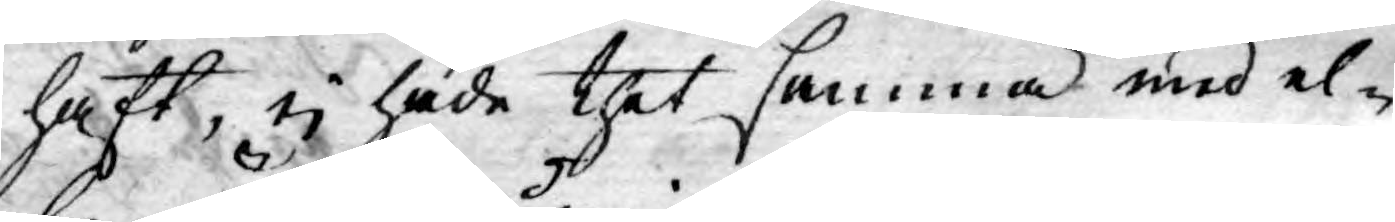haft, ej hade thet samma med el¬
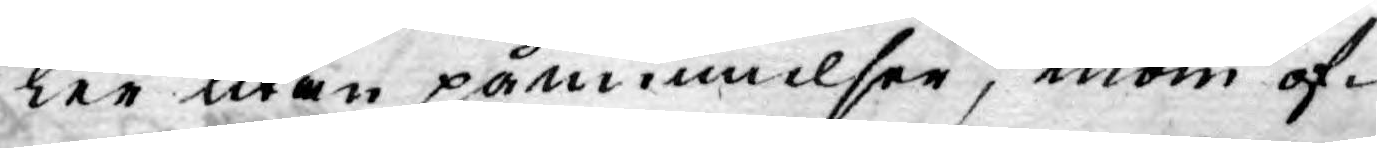ler utan påminnelser, inom of-
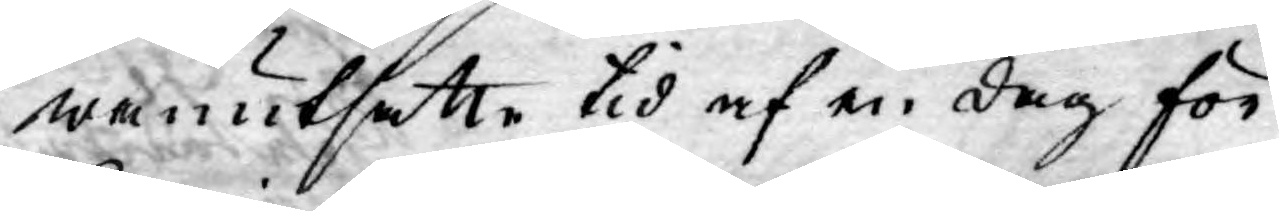wanutsatte tid af en dag för
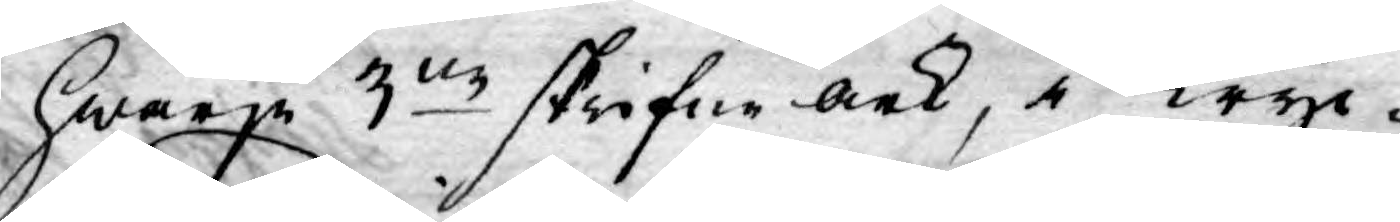hwarje 3ne skrifne ark, i Tryc¬
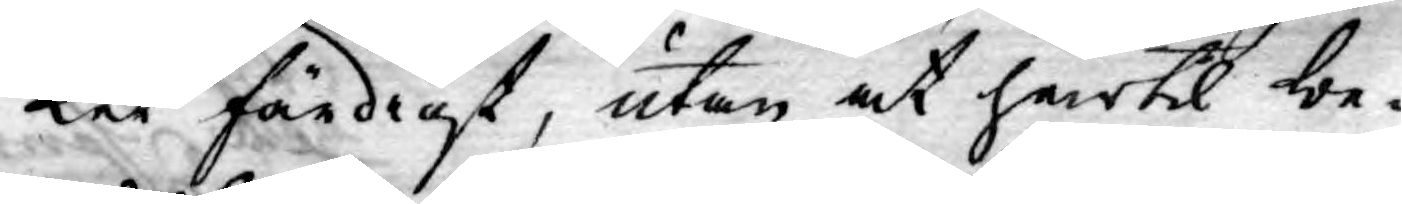ket färdigt, utan at härtil be¬
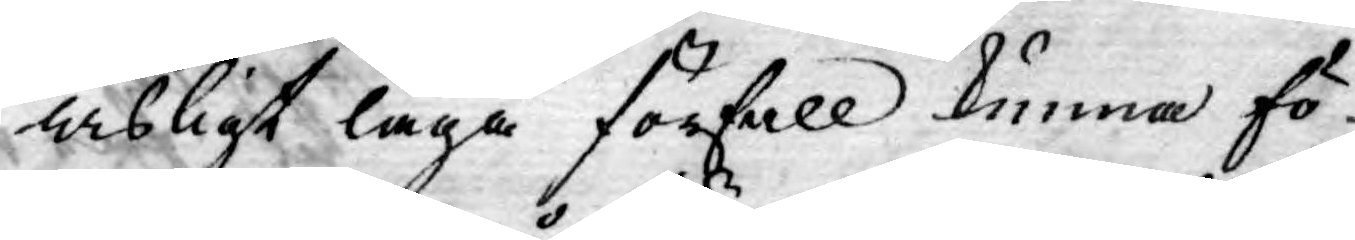wisligt laga förfall kunna fö¬
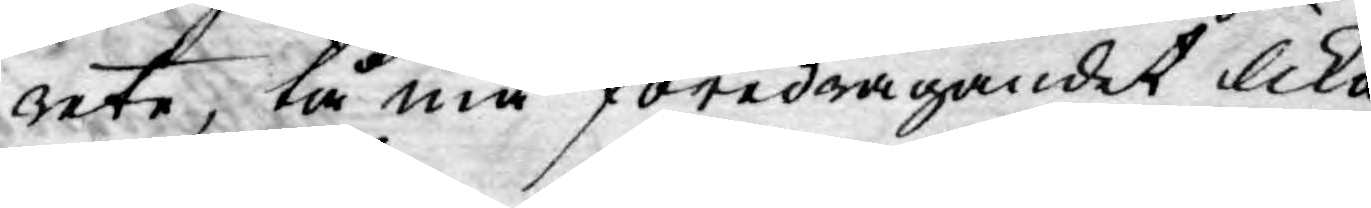rete; tå må föredragandet lika
